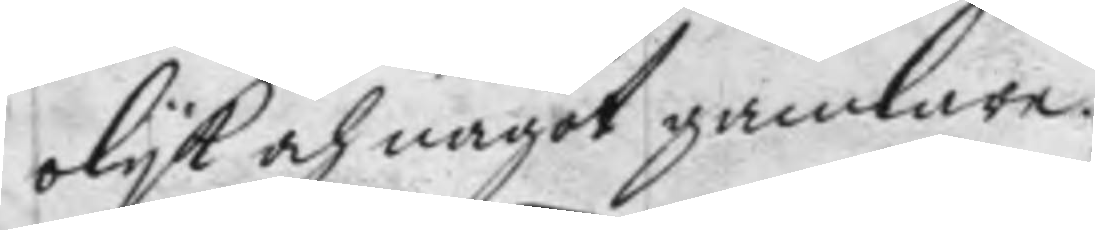olyk och något gamlare.
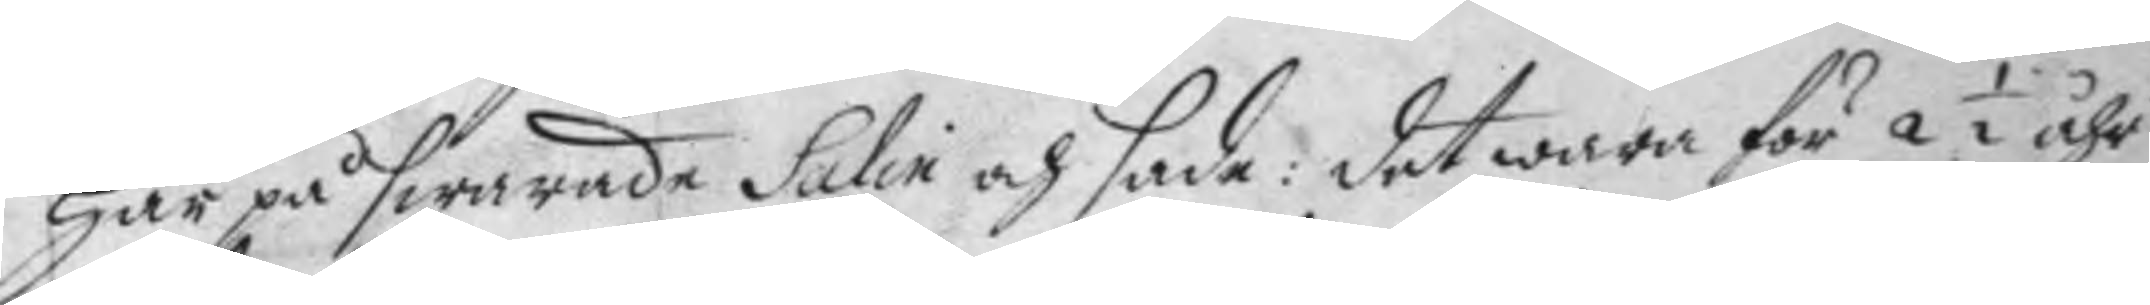Här på swarade Salin och sade: det wara för 2½ åhr
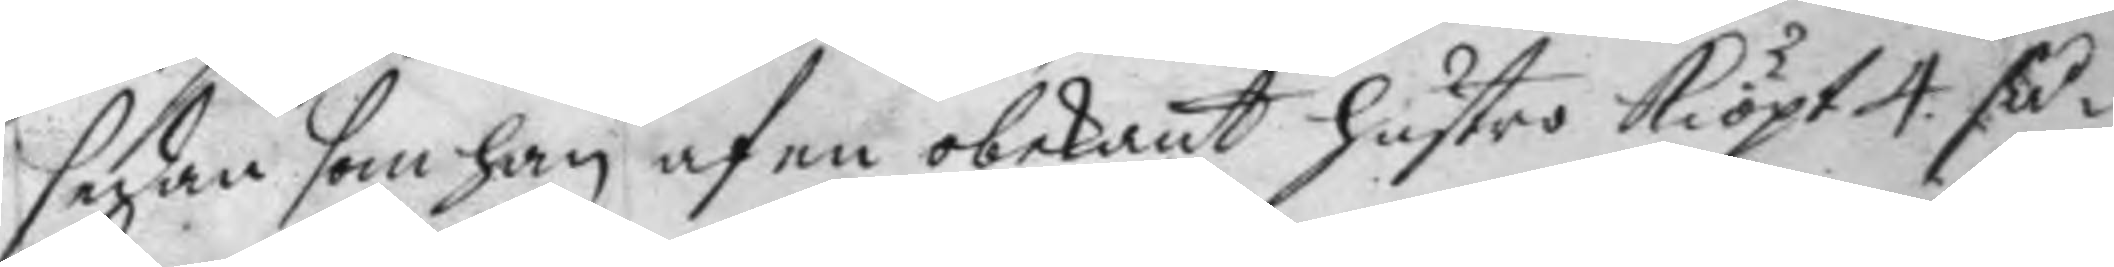sedan som han af en obekant hustro kiöpt 4 så¬
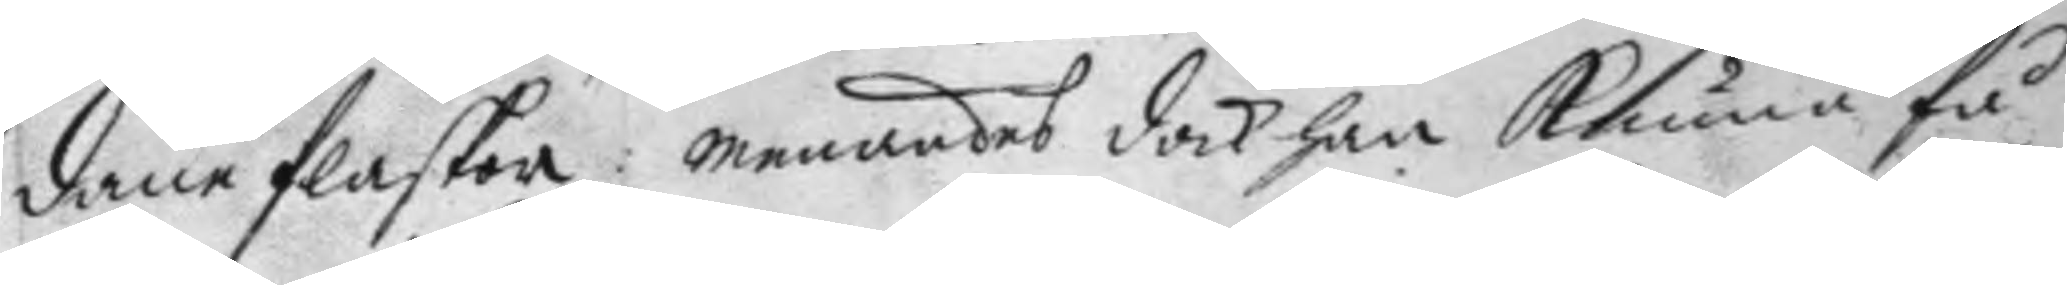dane flaskor: menandes dock han kunna få
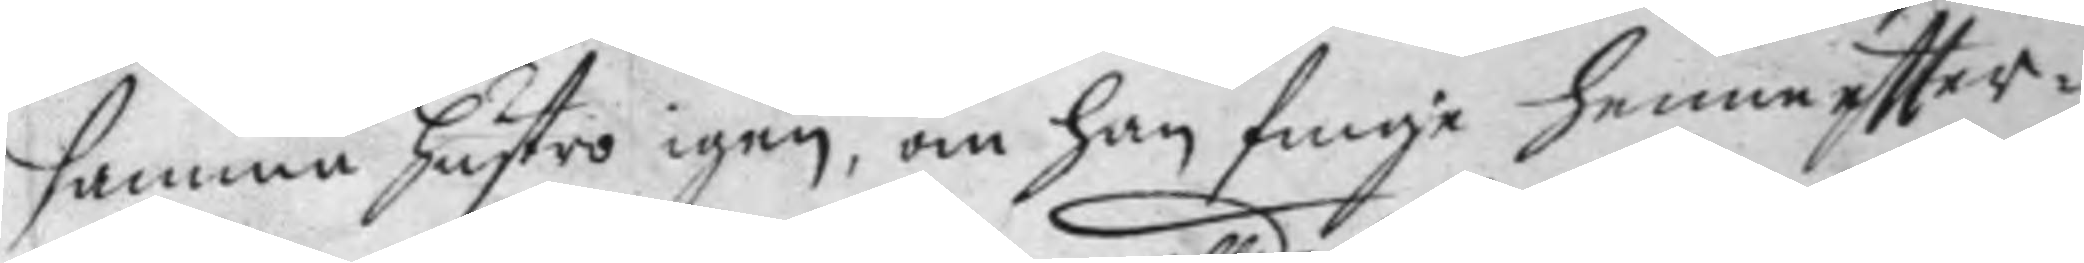samma hustro igen, om han finge henne eftter¬
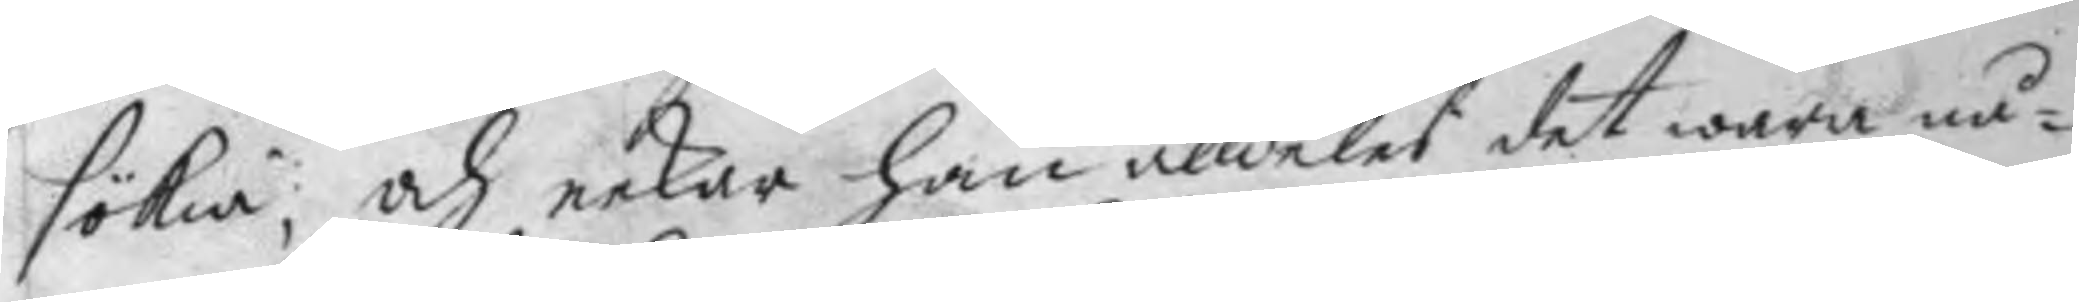sökia; och nekar han alldeles det wara nå¬
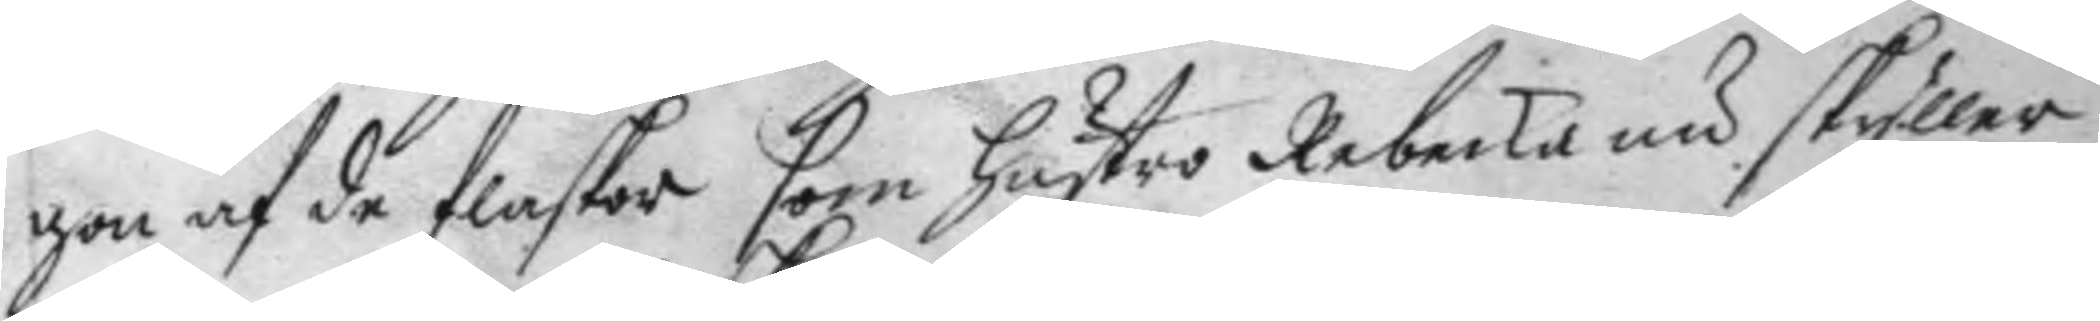gon af de flaskor som hustro Rebecka nu skyller
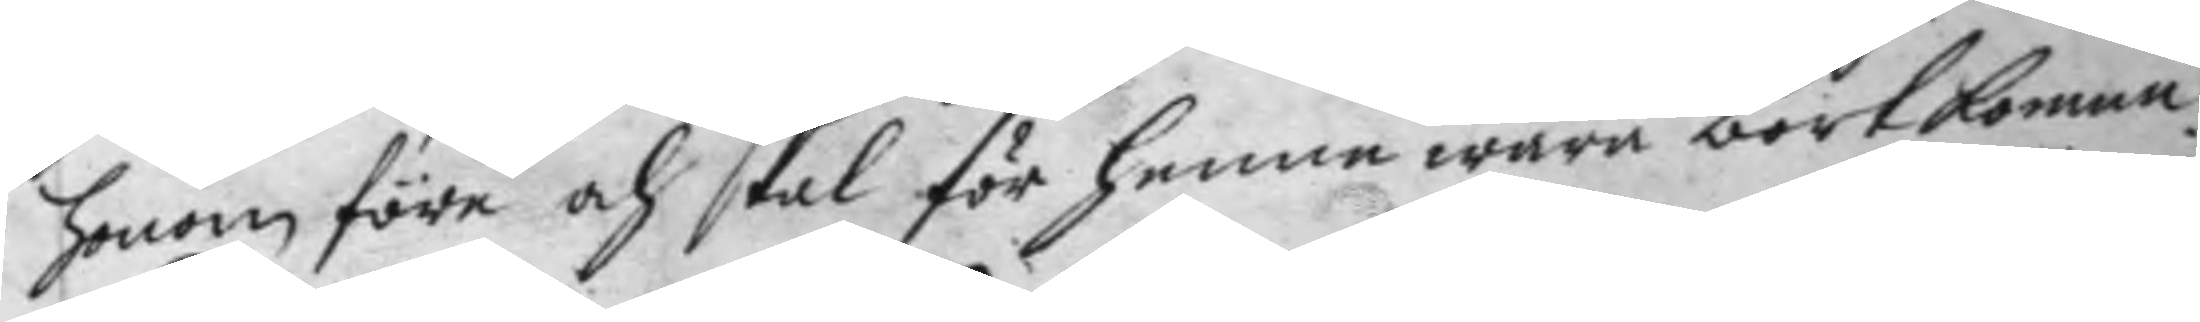honom före och skal för henne wara bortkomne.
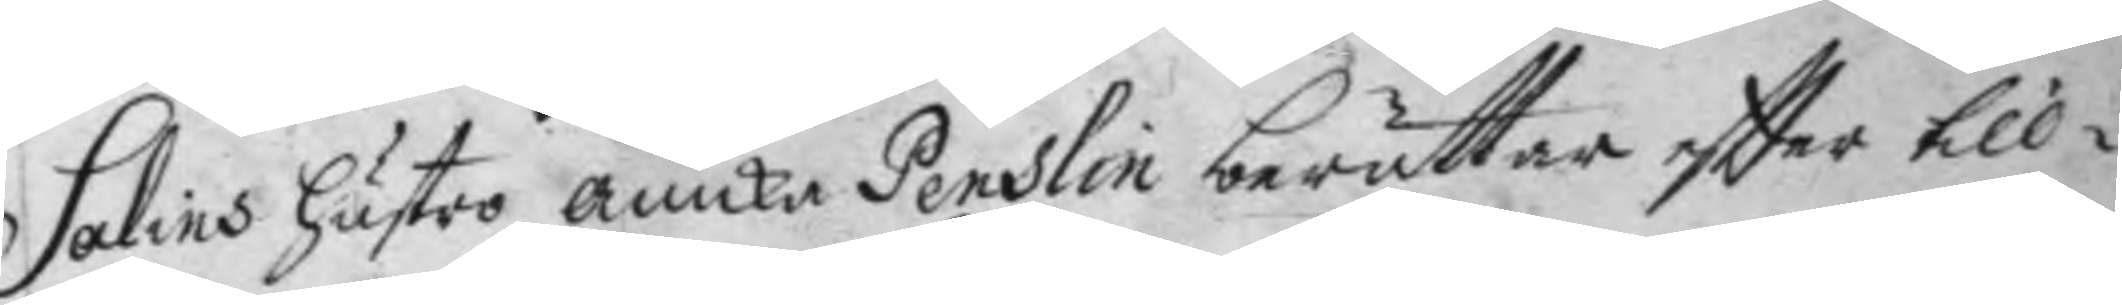Salins hustro Anicka Penslin berättar eftter till¬
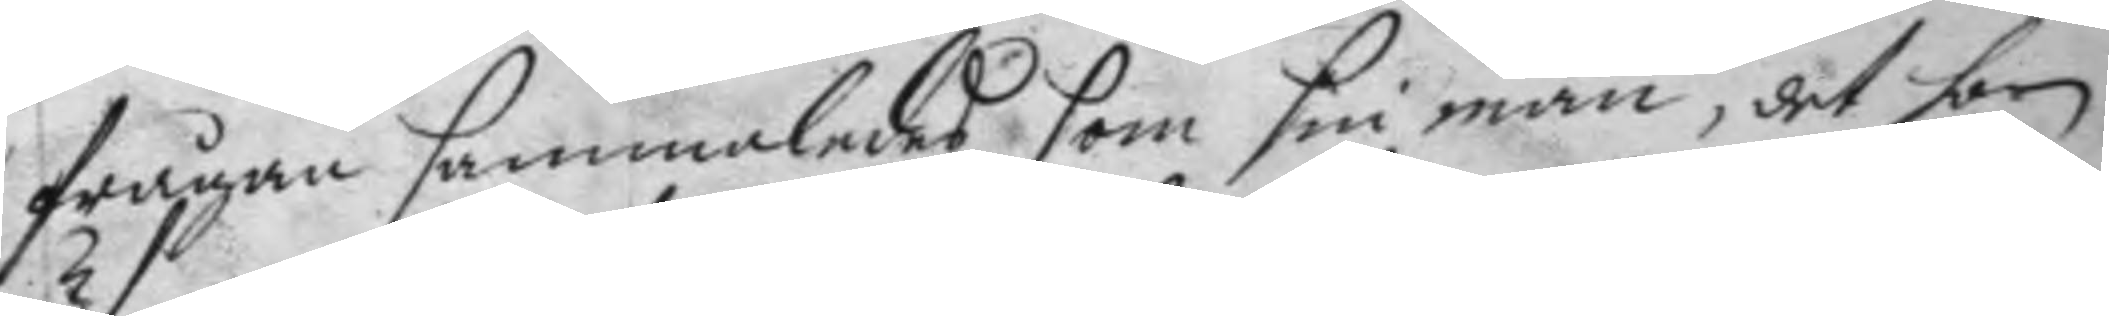frågan sammaledes som sin man, det hon
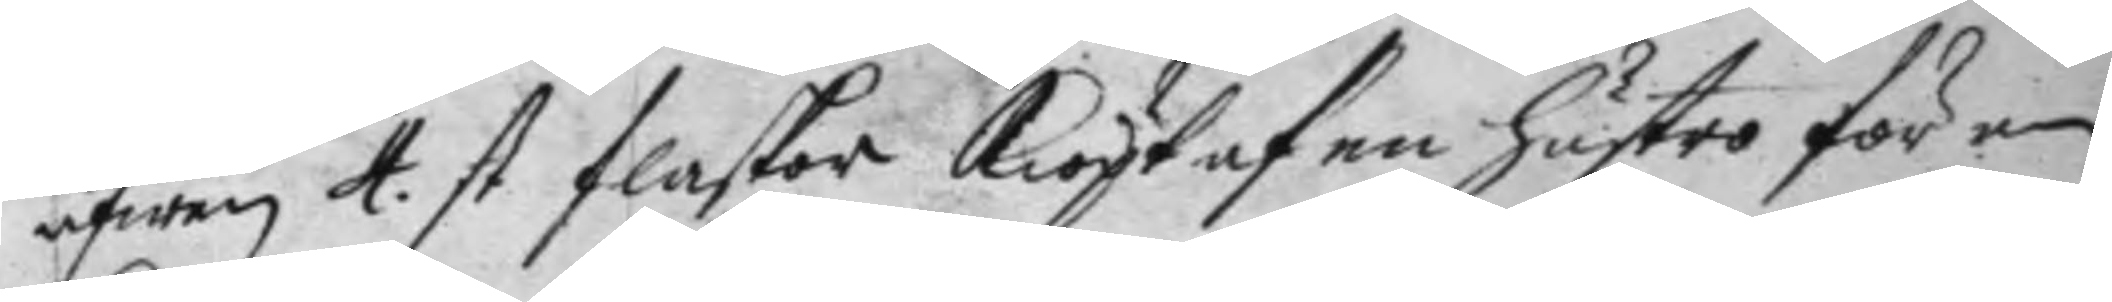äfwen 4 st flaskor kiöpt af en hustro för en 
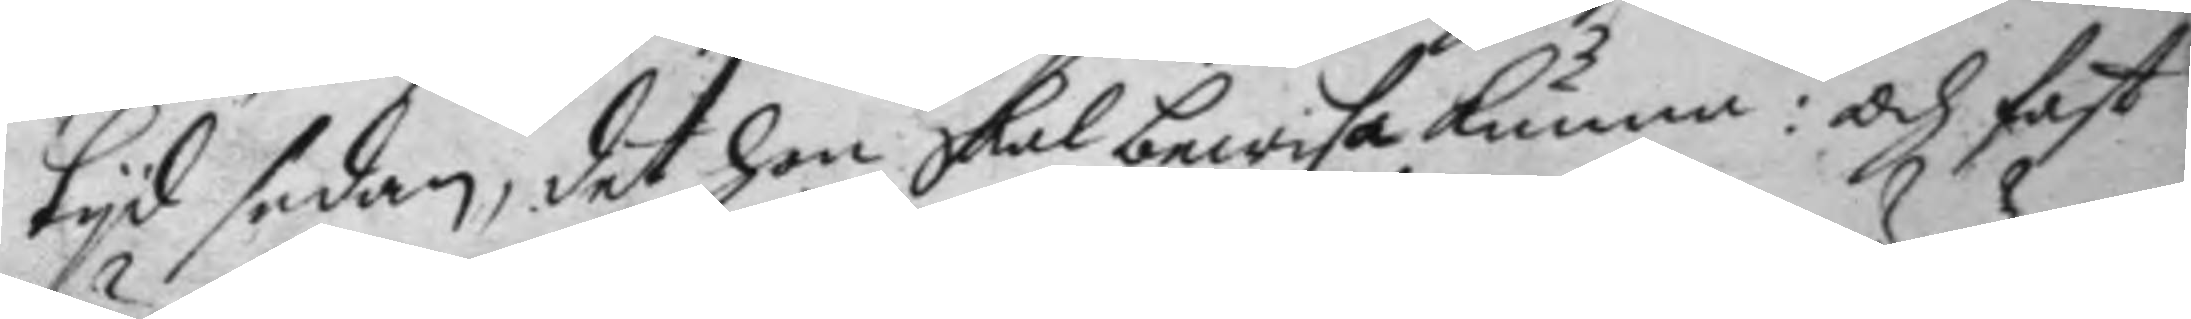tyd sedan, det hon skal bewisa kunna: och fast
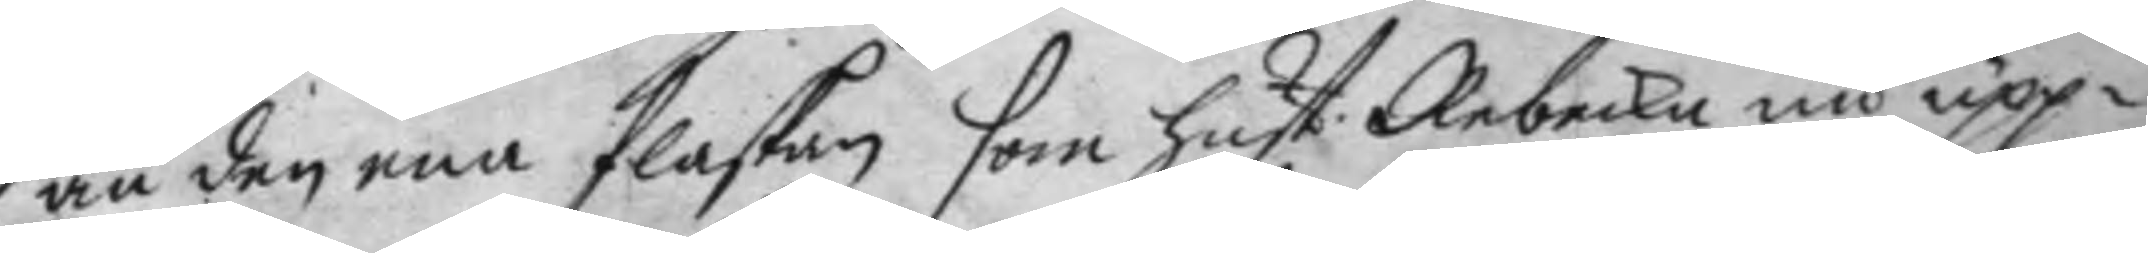än den ena flaskan som hust: Rebecka nu upp¬ 
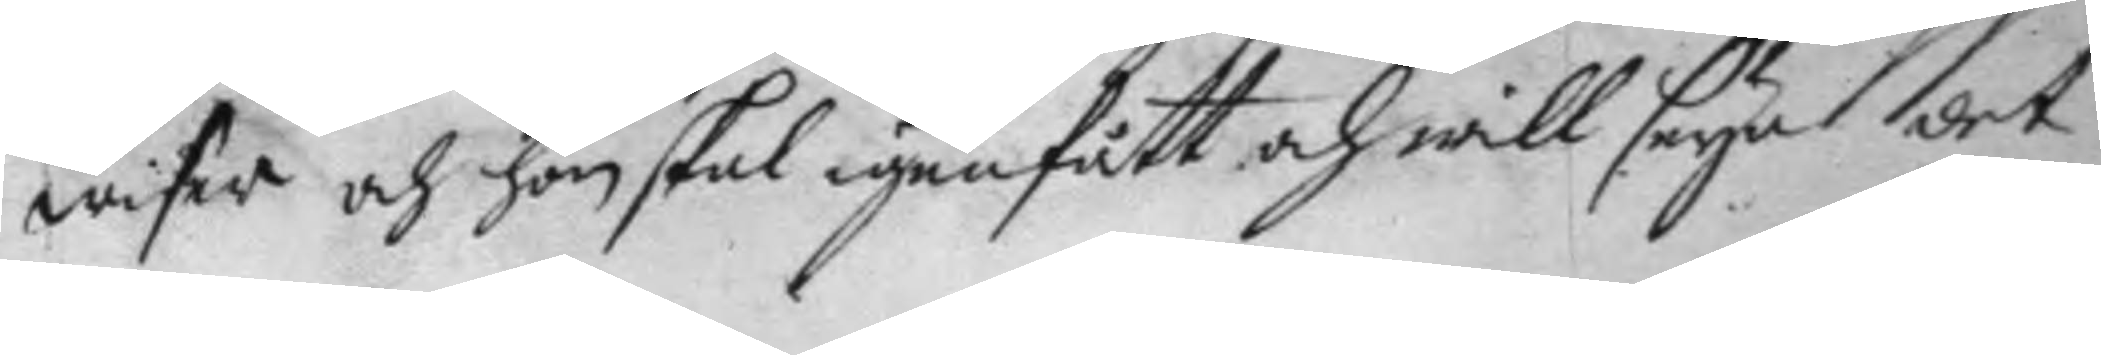wiser och hon skal igenfått och will seya det
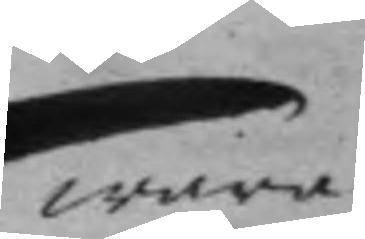wara
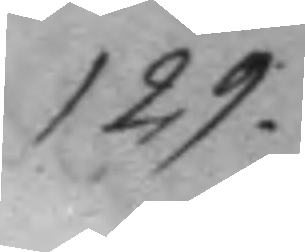129.
